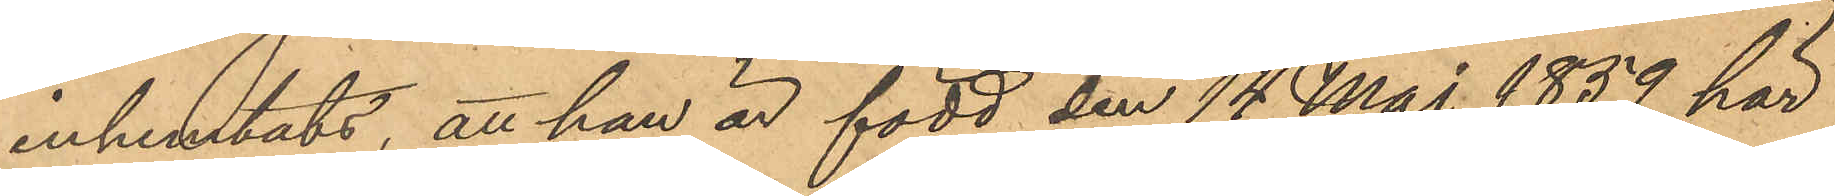inhemtats, att han är född den 14 Maj 1859 här
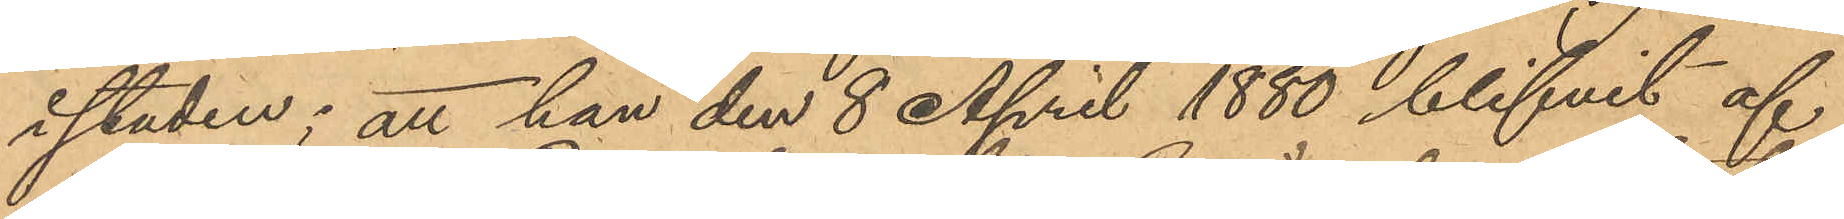i staden; att han den 8 April 1880 blifvit af
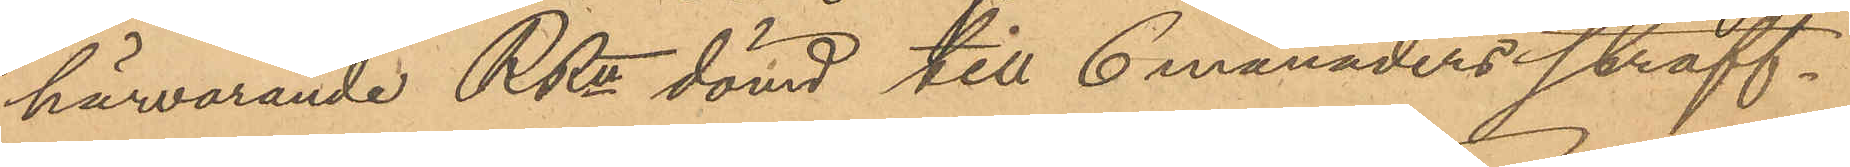härvarande RRtt dömd till 6 månaders straff¬
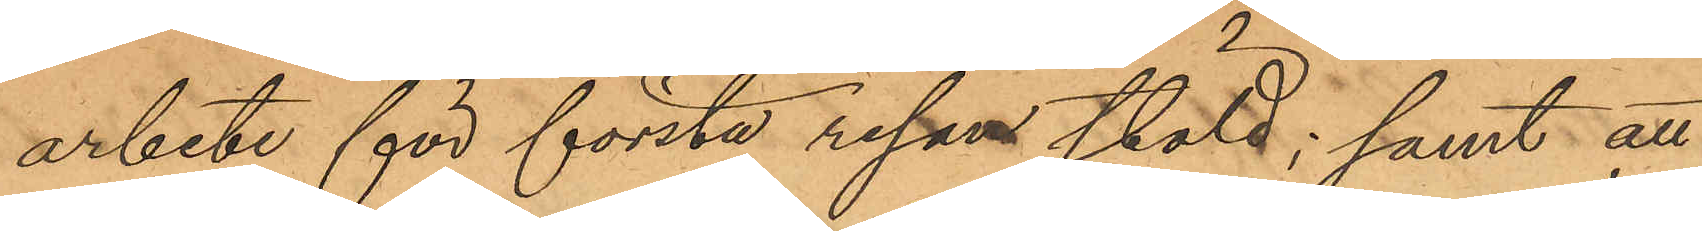arbete för första resan stöld; samt att
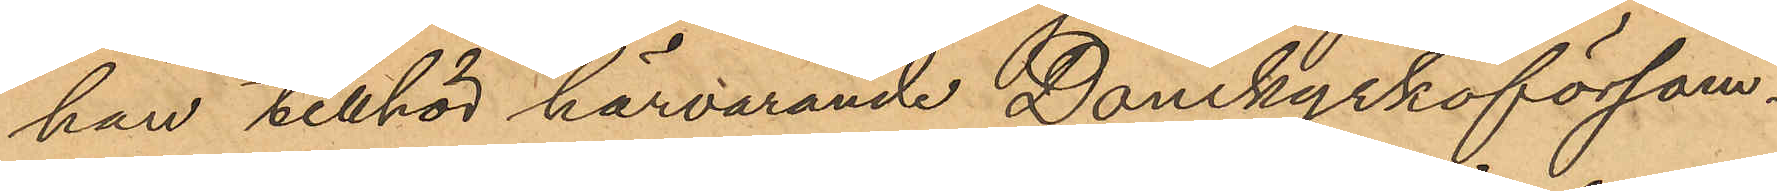han tillhör härvarande Domkyrkoförsam¬
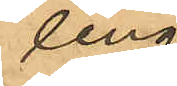ling.
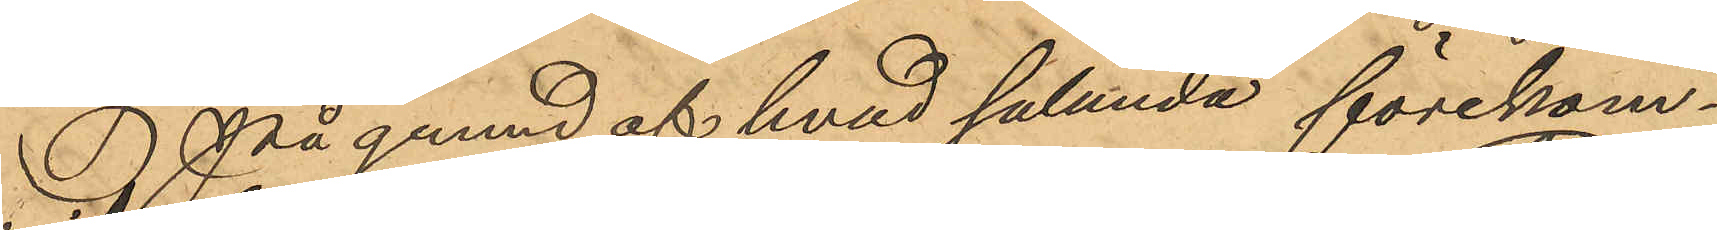På grund af hvad sålunda förekom¬
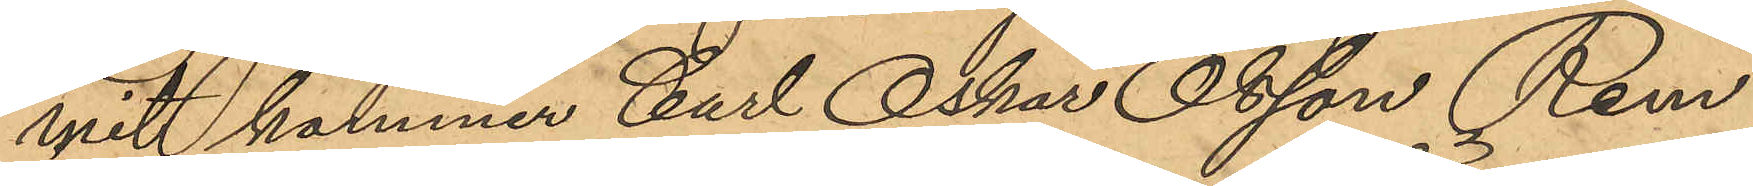mit kommer Carl Oskar Olsson Rem
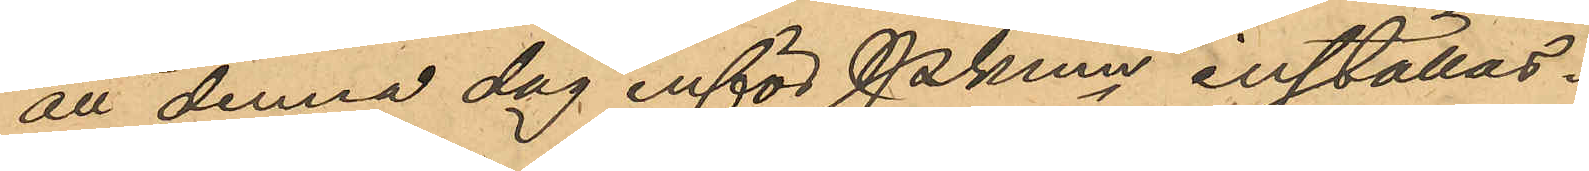att denna dag inför Pkmn inställas.
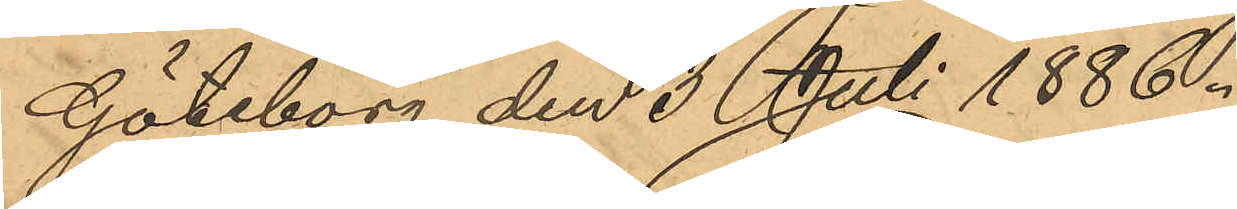Göteborg den 3 Juli 1886.
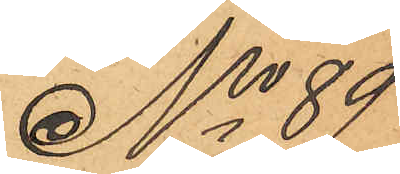No 89
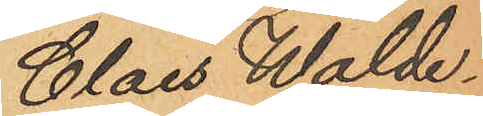Claes Walde¬
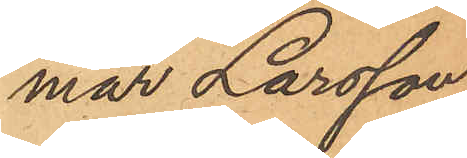mar Larsson,
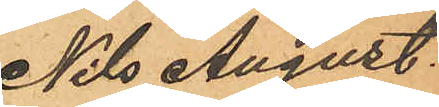Nils August
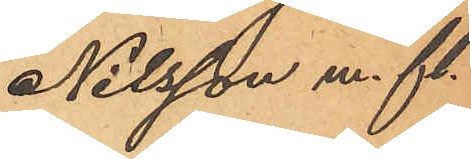Nilsson m. fl.
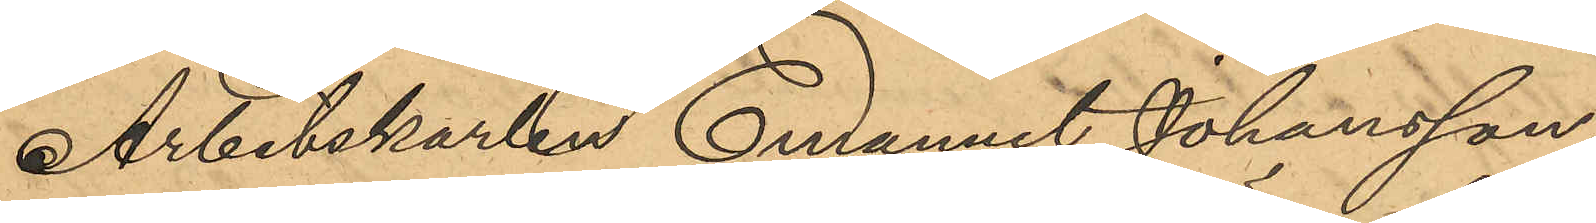Arbetskarlen Emanuel Johansson,
